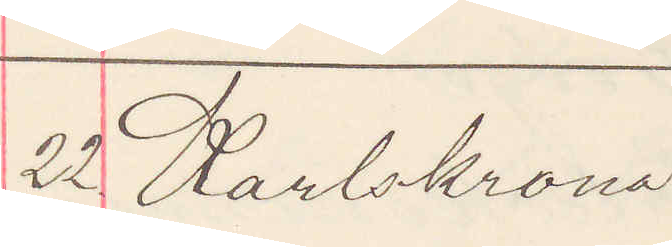22. Karlskrona.
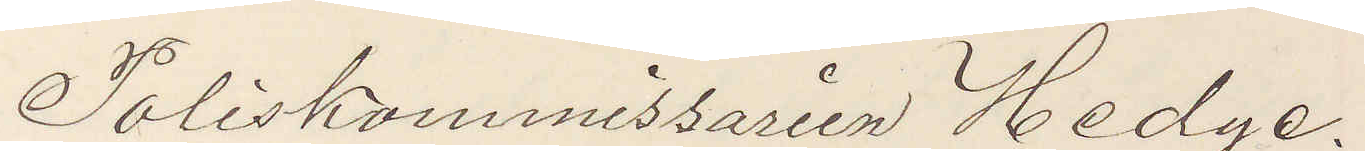Poliskommissarien Hedge.
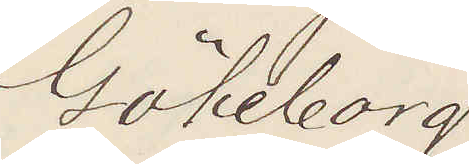Göteborg.
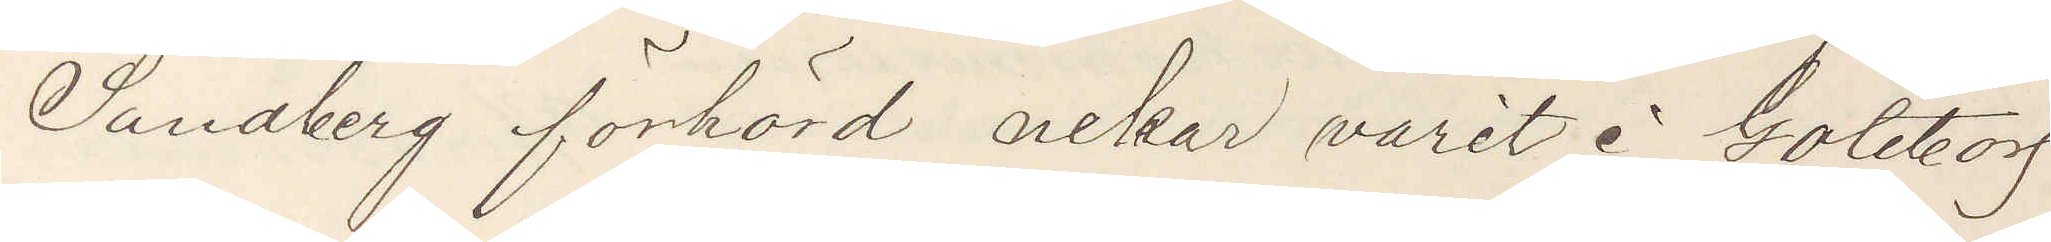Sandberg förhörd nekar varit i Göteborg
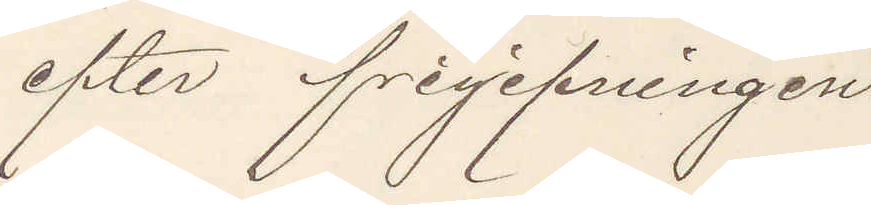efter frigifningen.
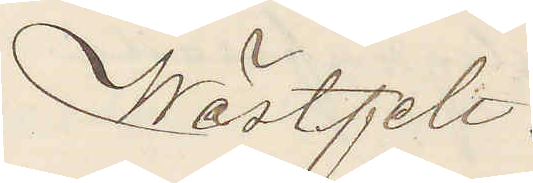Wästfelt.
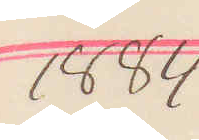1884.
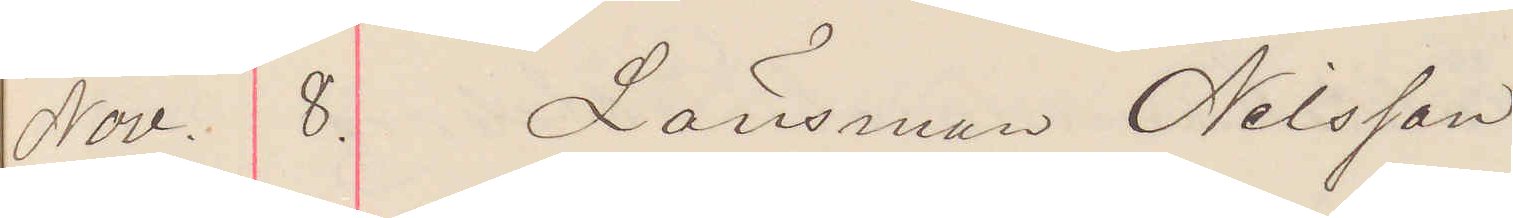Nov. 8. Länsman Nilsson.
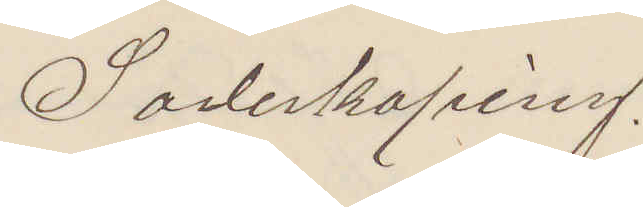Sönderköping.
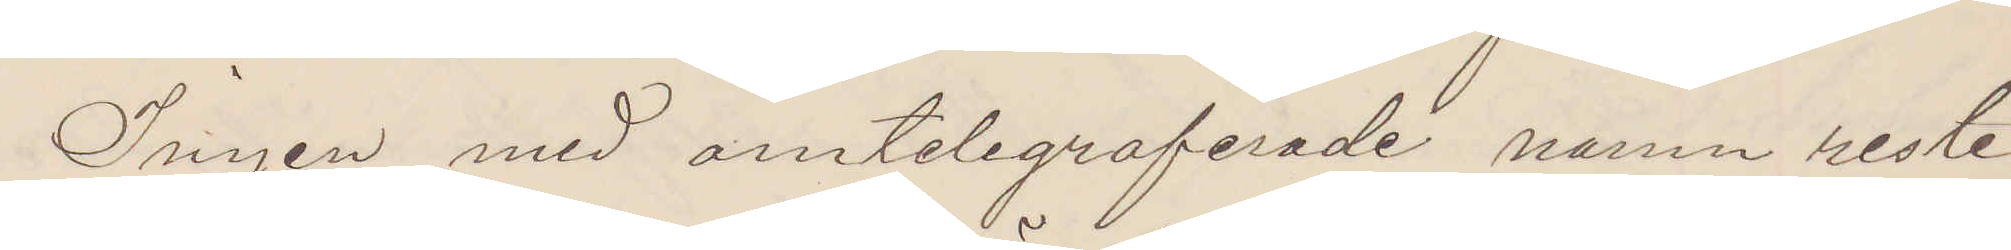Ingen med omtelegraferade namn reste,
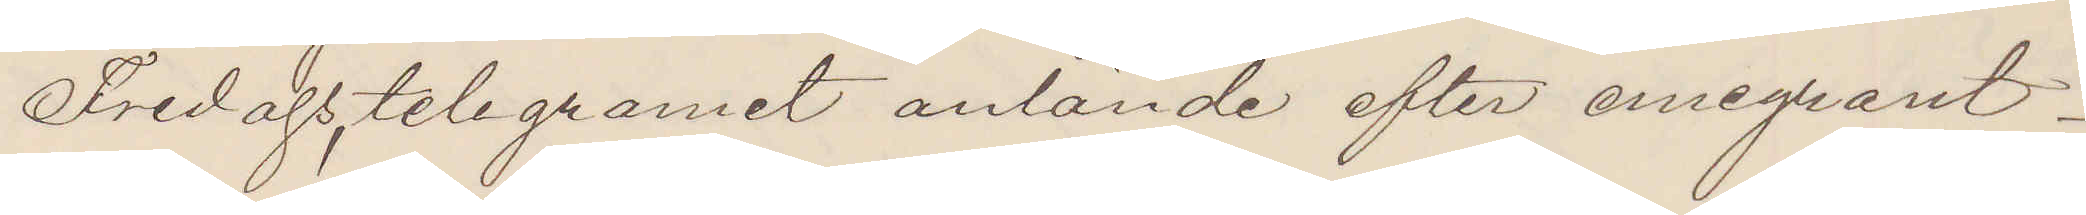Fredagstelegramet anlände efter emigrant¬
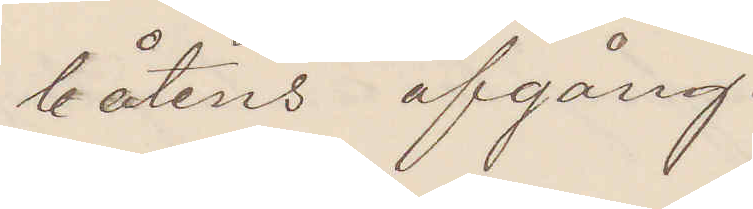båtens afgång.
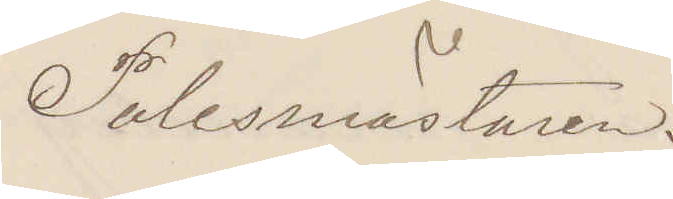Polismästaren.
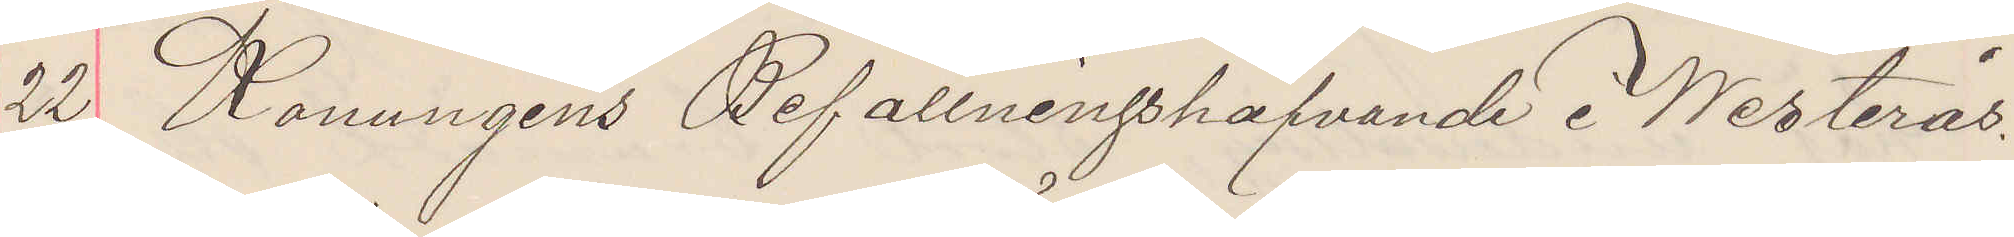22 Konungens Befallningshafvande i Westerås.
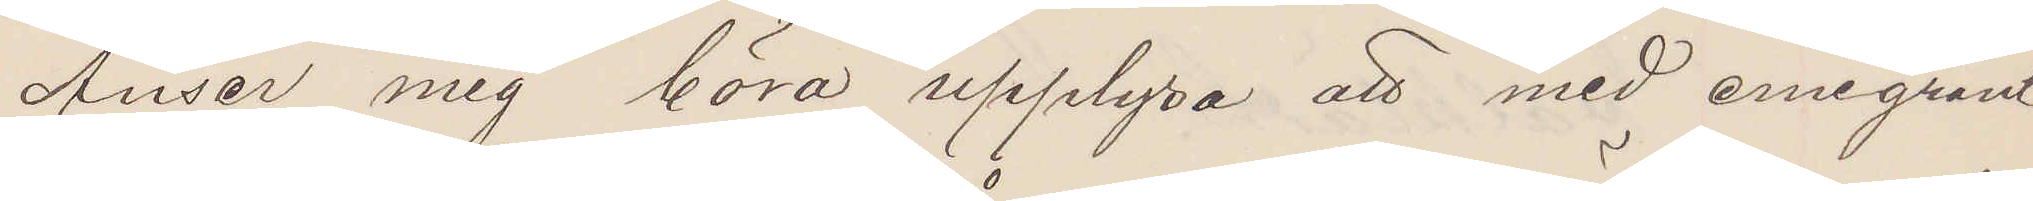Anser mig böra upplysa att med emigrant¬
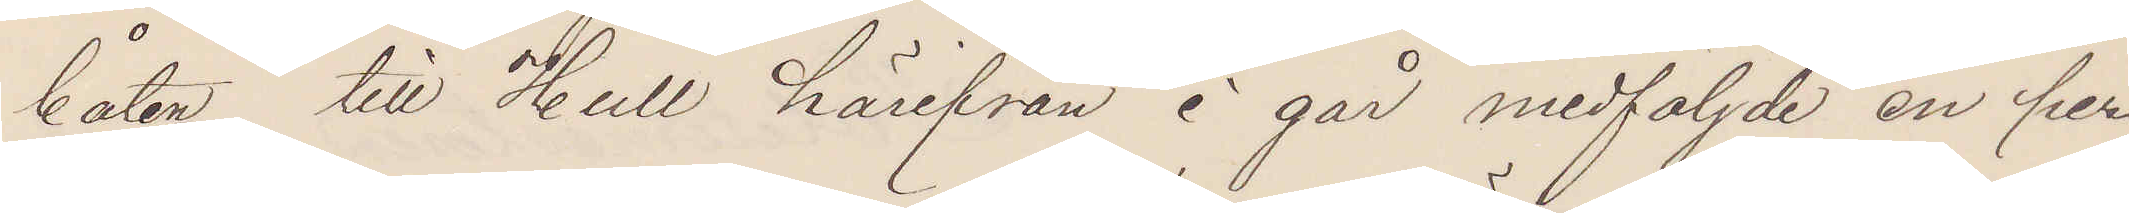båten till Hull härifrån i går medföljde en per¬
